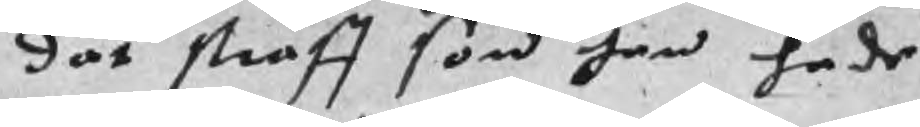dät straff som han hade
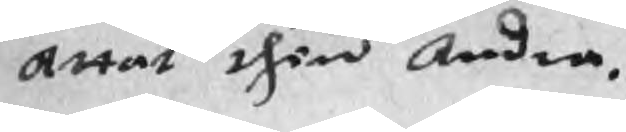Attat then Andra.
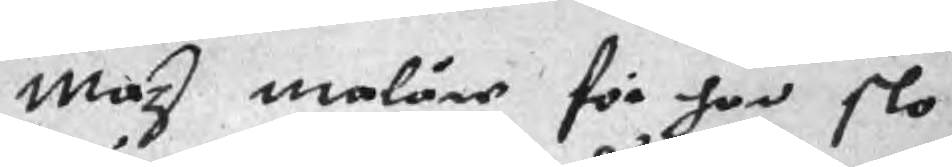Maz maläre för han slo
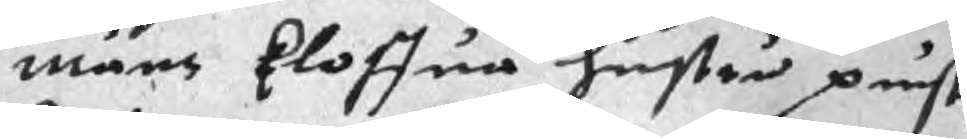måns kloffua hustru punst
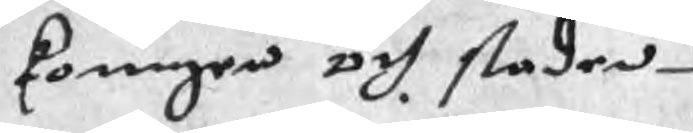koungen och staden
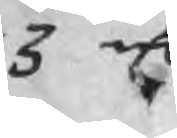3 mC
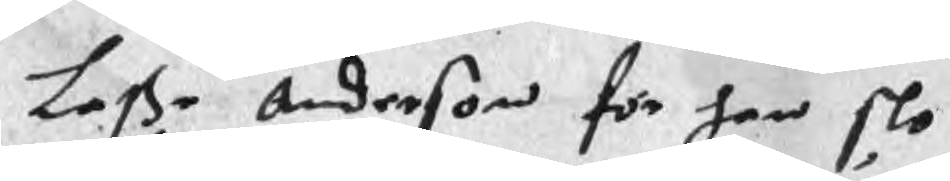Laße Anderson för han slo
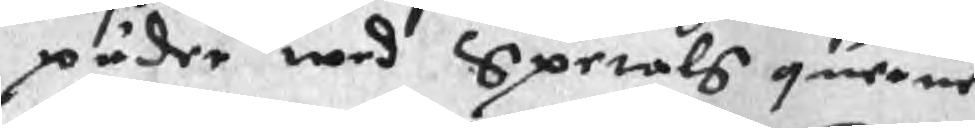päder med Spetals querue
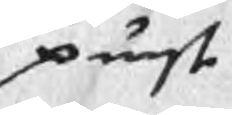punst
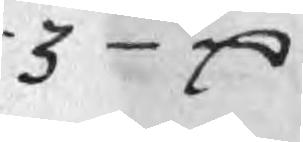3 mC
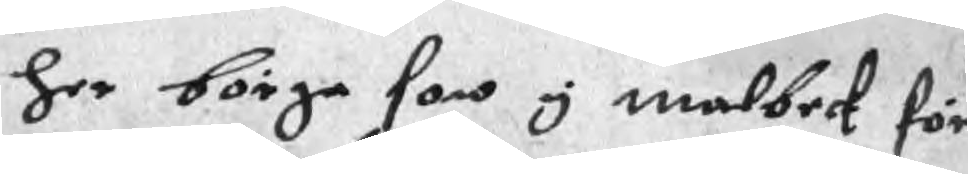her börge son y malbeck för
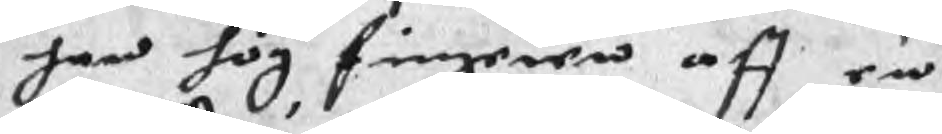han hög fingeren aff en
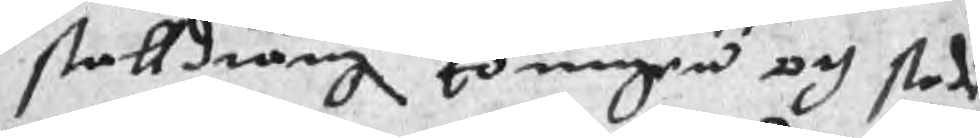stalldräng koungen och staden
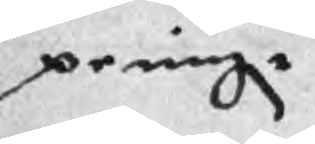prningr
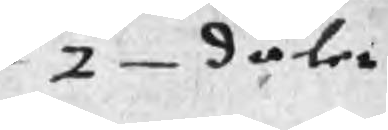2 daler
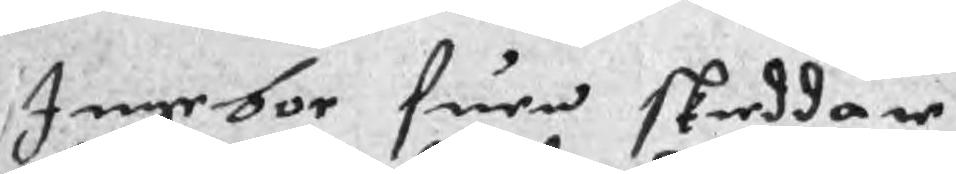Ingebor suen skreddare
